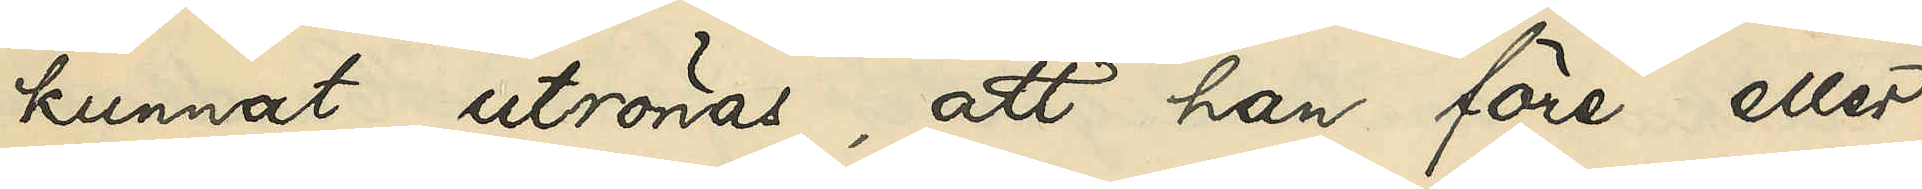kunnat utrönas, att han före eller
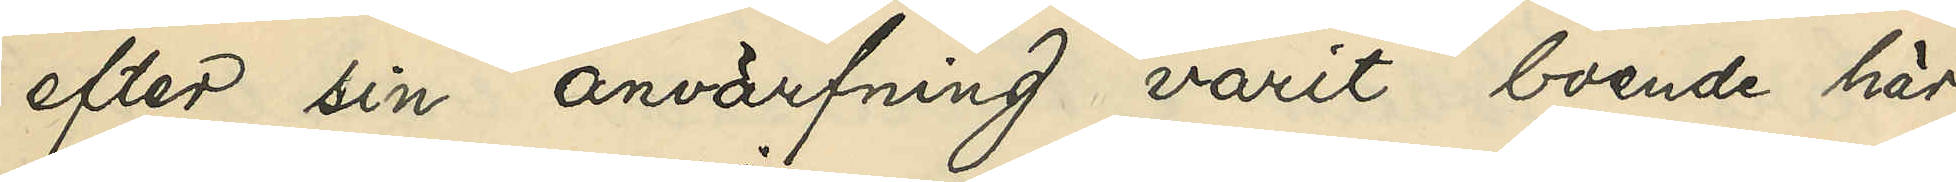efter sin anvärfning varit boende här
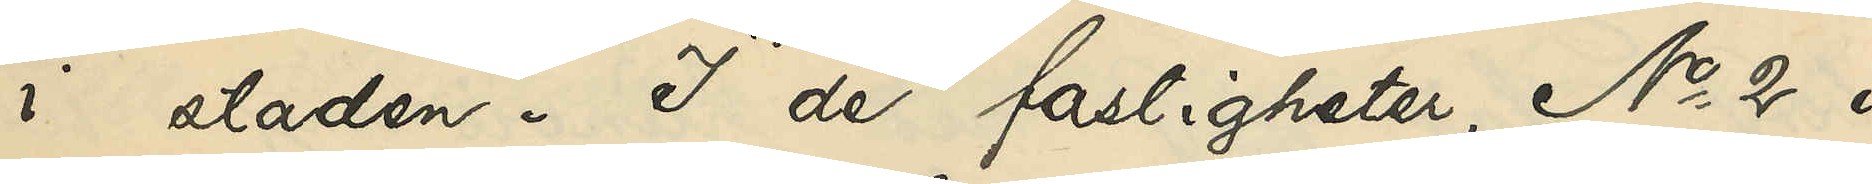i staden. I de fastigheter, No 2 i
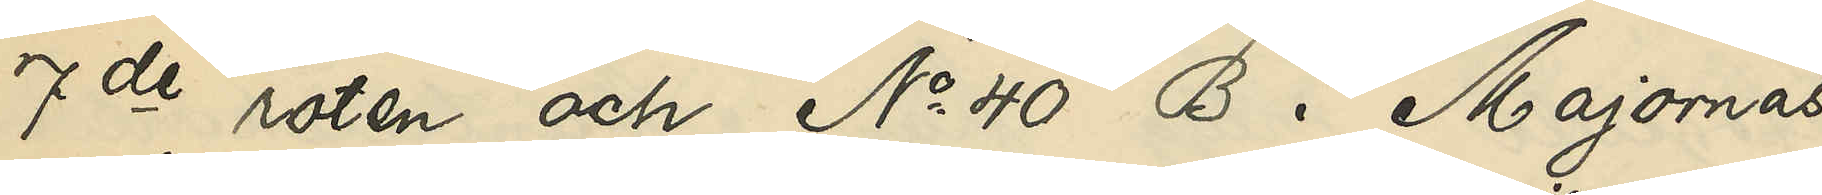7de roten och No 40 B i Majornas
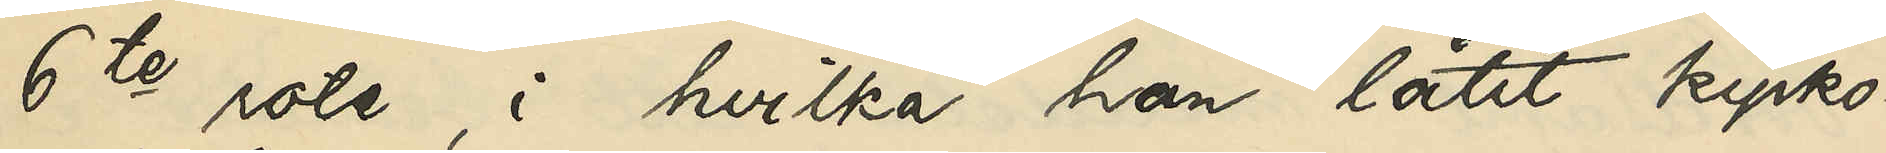6te rote, i hvilka han låtit kyrko¬
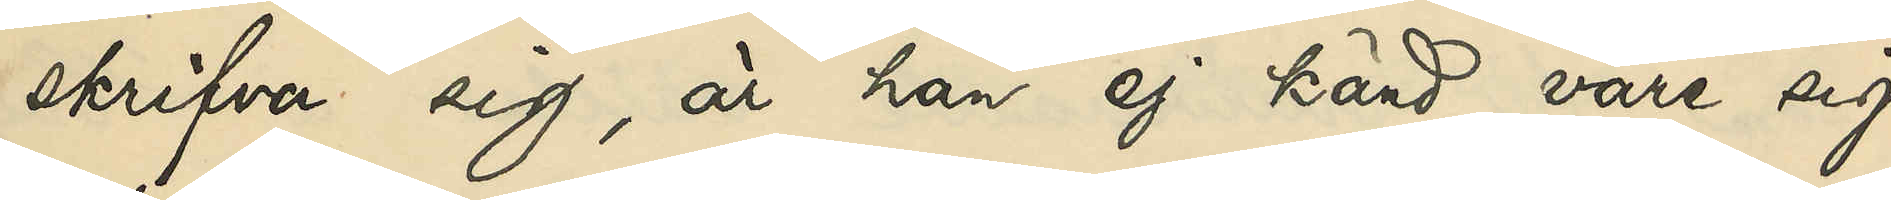skrifva sig, är han ej känd vare sig
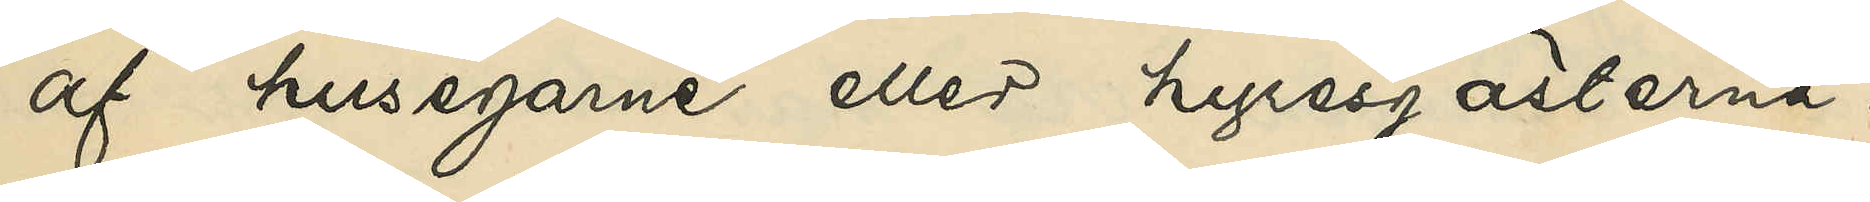af husegare eller hyresgästerna.
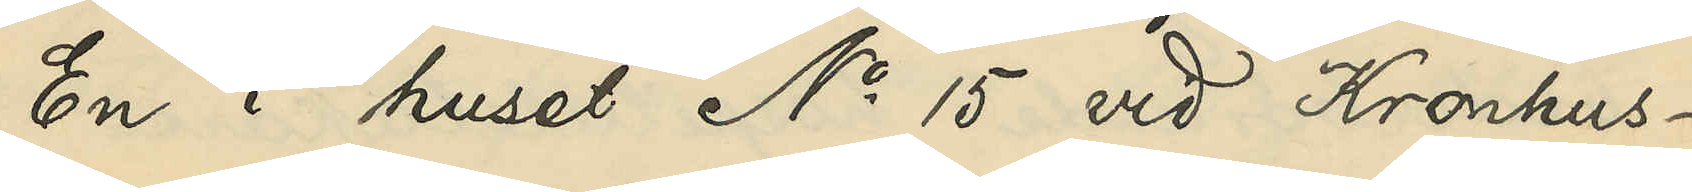En i huset No 15 vid Kronhus¬
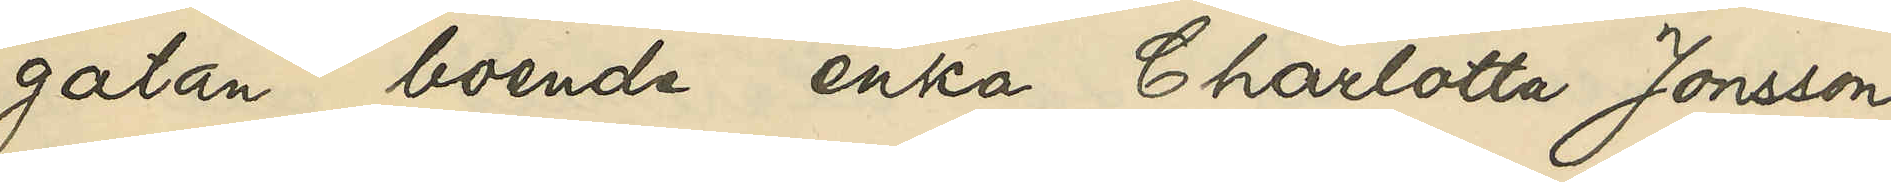gatan boende enka Charlotta Jonsson
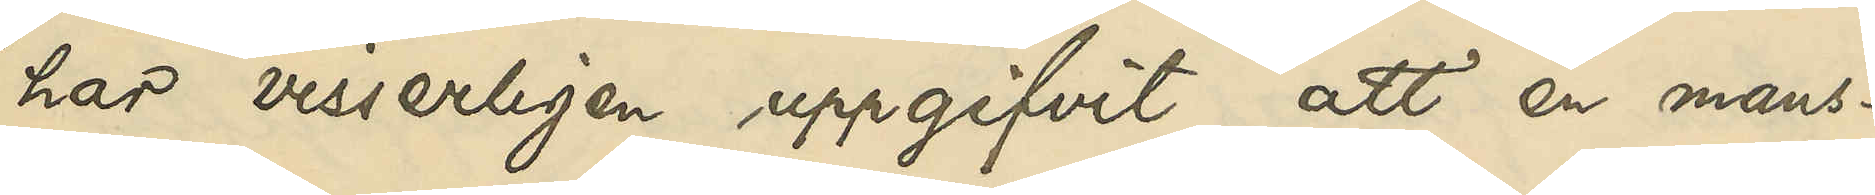har visserligen uppgifvit, att en mans¬
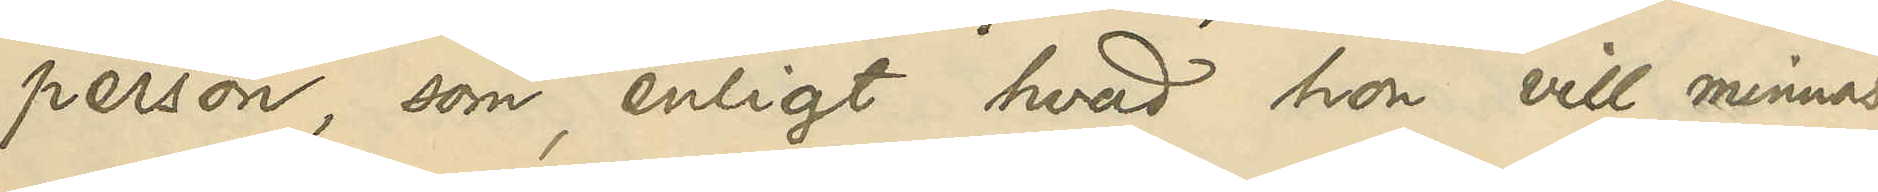person, som, enligt hvad hon vill minnas,
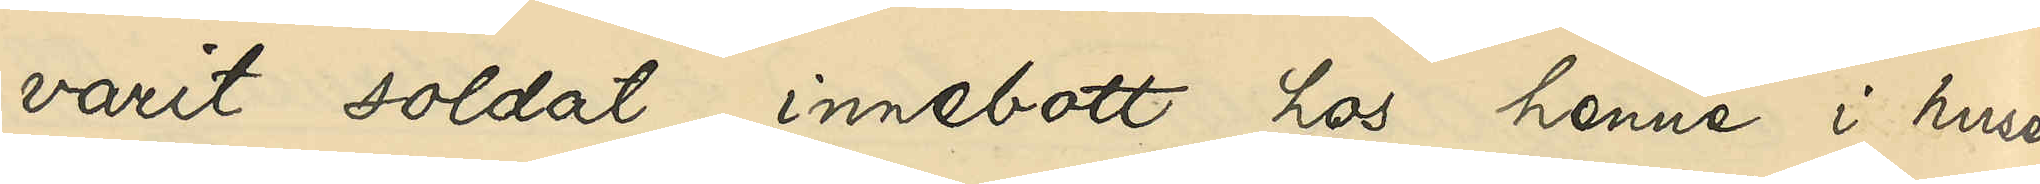varit soldat, innebott hos henne i huset
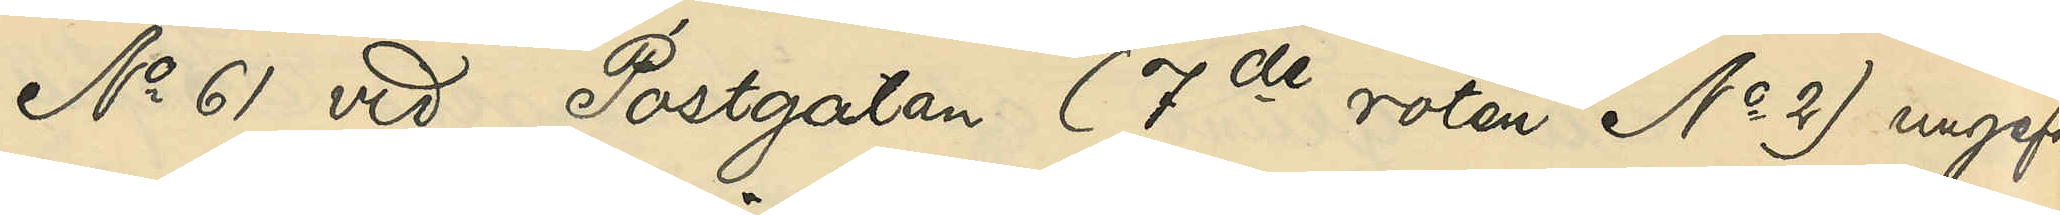No 61 vid Postgatan (7de roten No 2) ungefär
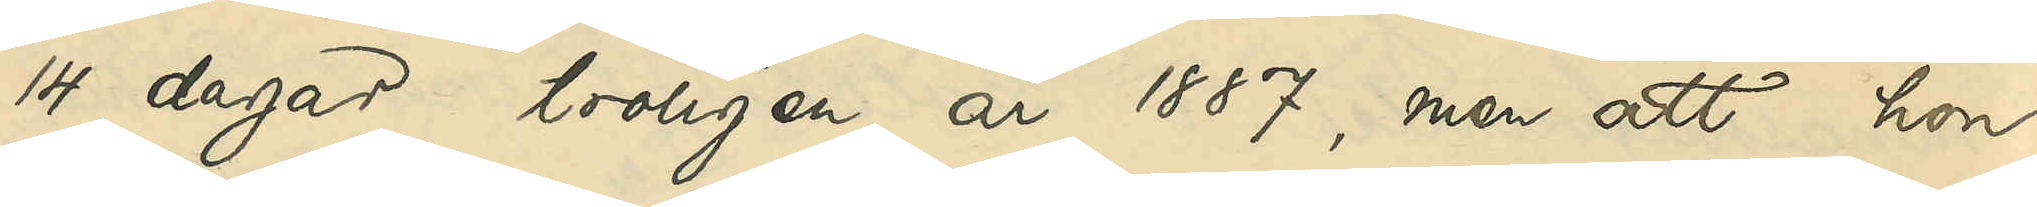14 dagar troligen år 1887, men att hon
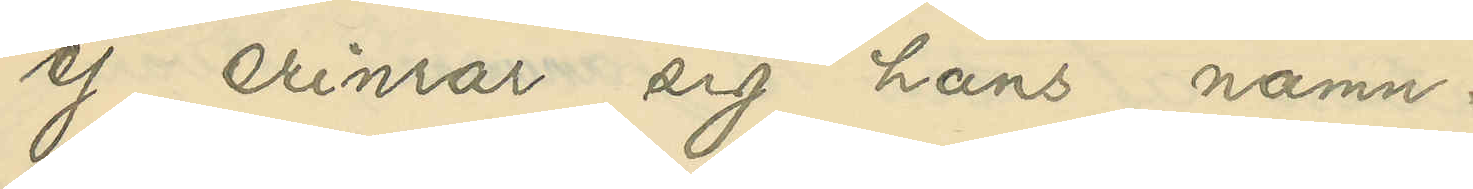ej erinrar sig hans namn.
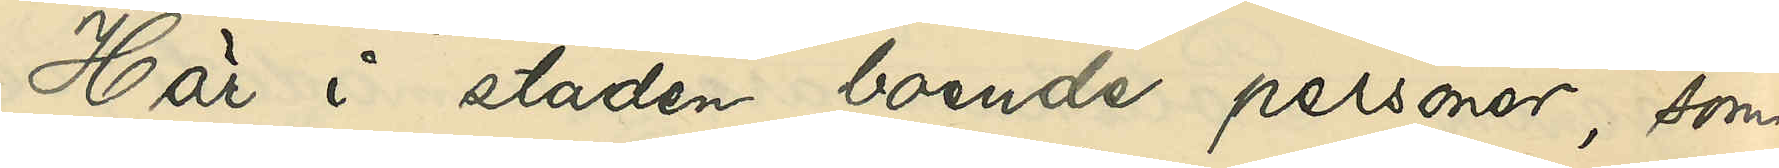Här i staden boende pesoner, som
